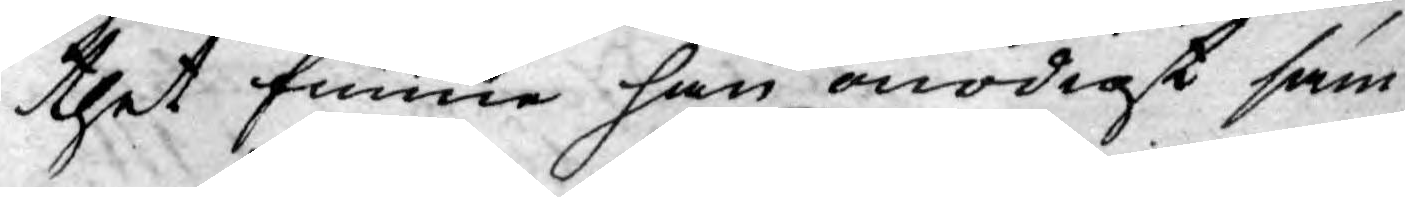thet finne han onödigt sam¬
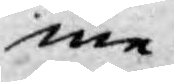me
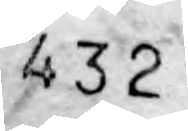432
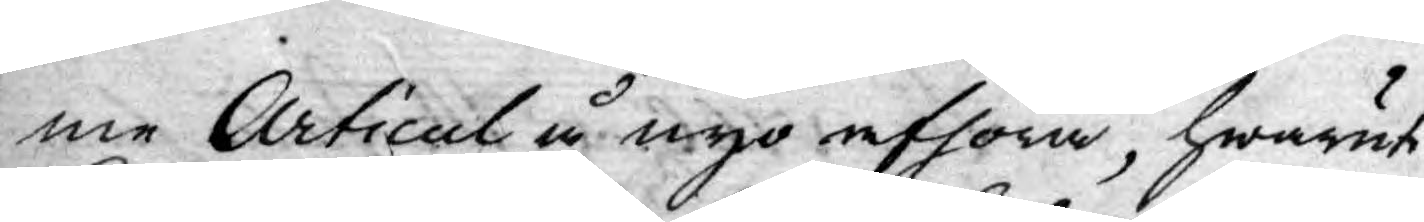me Articul å nyo afhöra, hwaruti
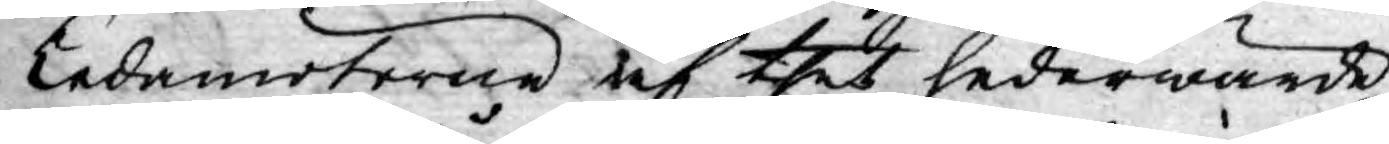Ledamöterne af thet hederwärde
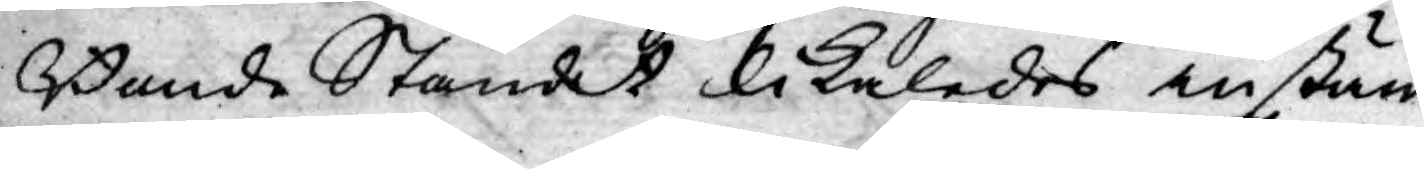Bonde Ståndet likaledes instäm¬
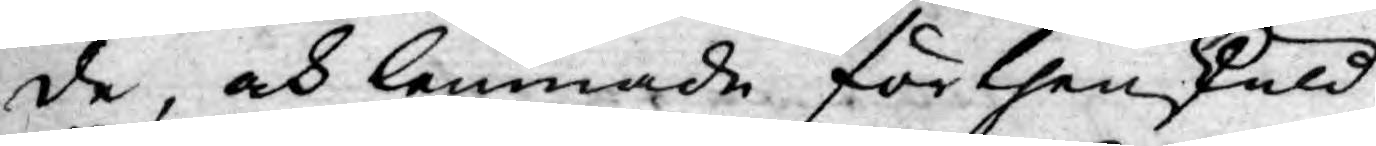de, och lemnade förthenskuld
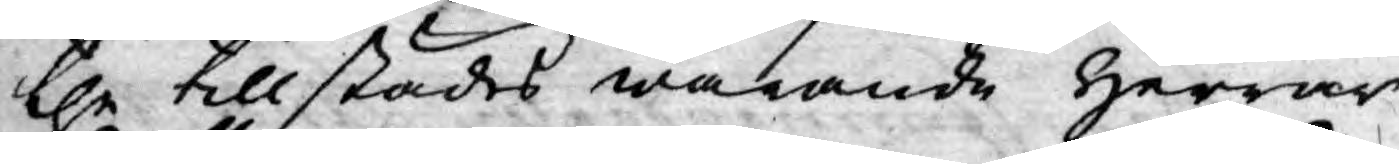the tillstädes warande Herrar
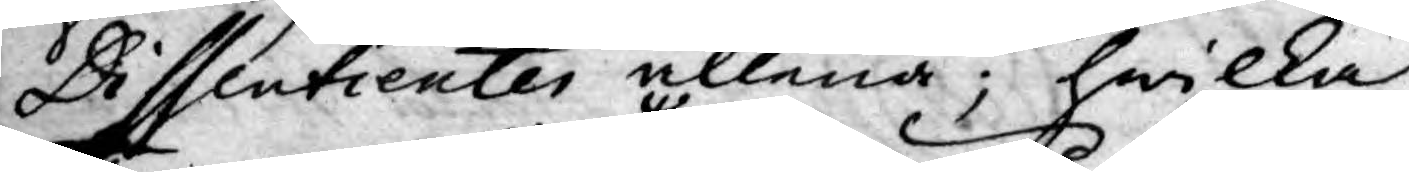Dissentienter allena; hwilka
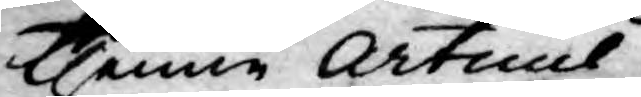thenne Articul 
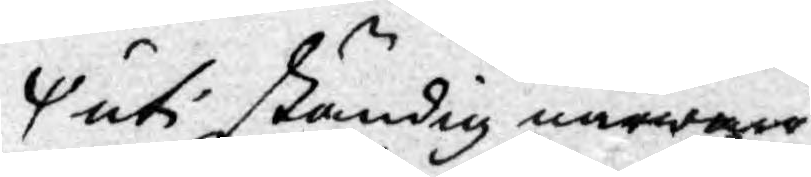uti ständig närware
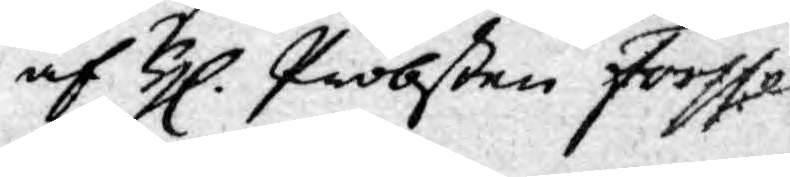af H. Probßten Forsse¬
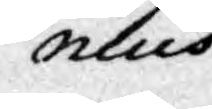nius
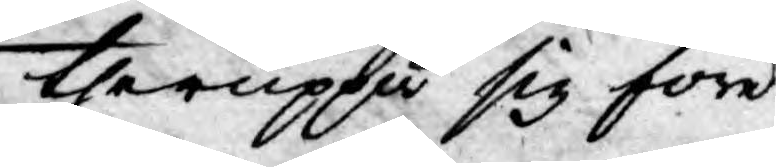theruppå sig före¬
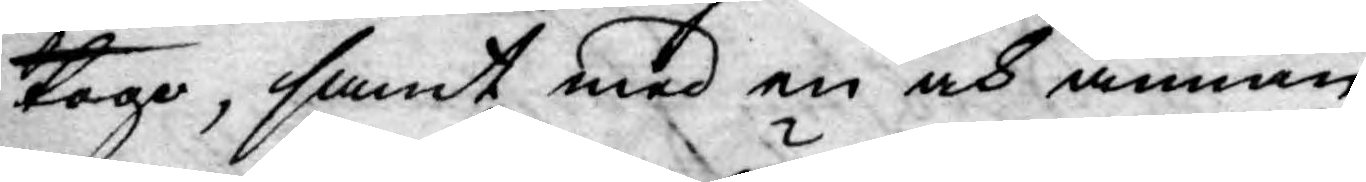togo, samt med en och annan
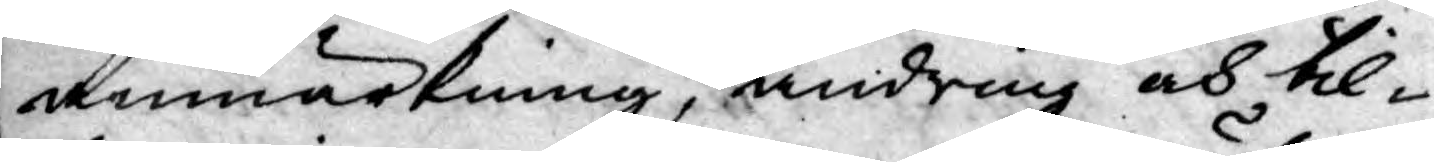anmärkning, ändring och til¬
